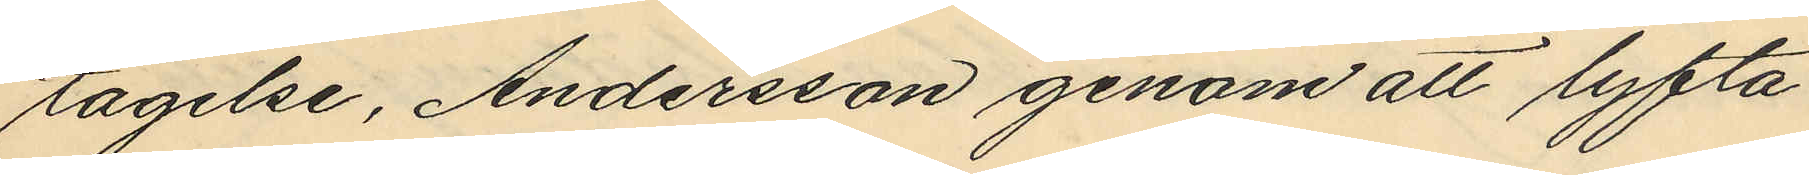tagelse, Andersson genom att lyfta
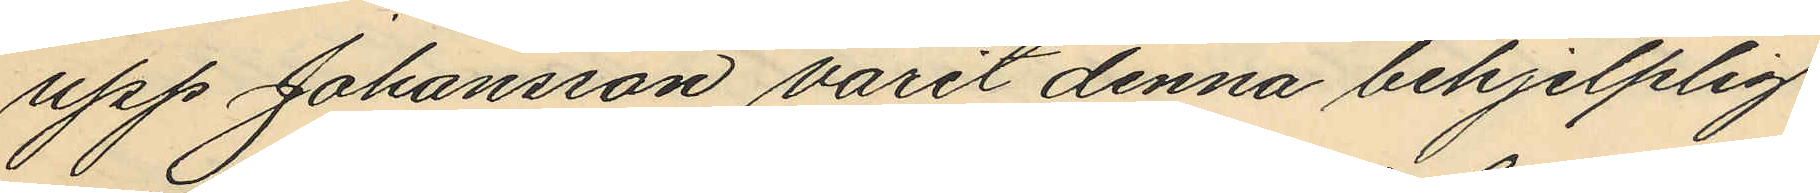upp Johansson varit denna behjelplig
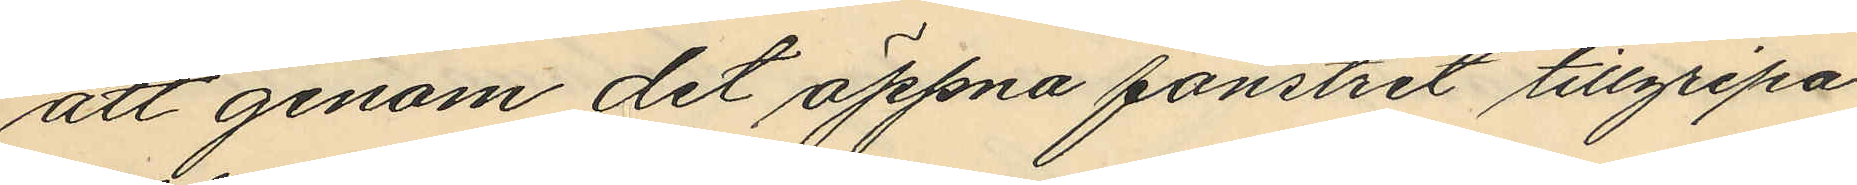att genom det öppna fönstret tillgripa
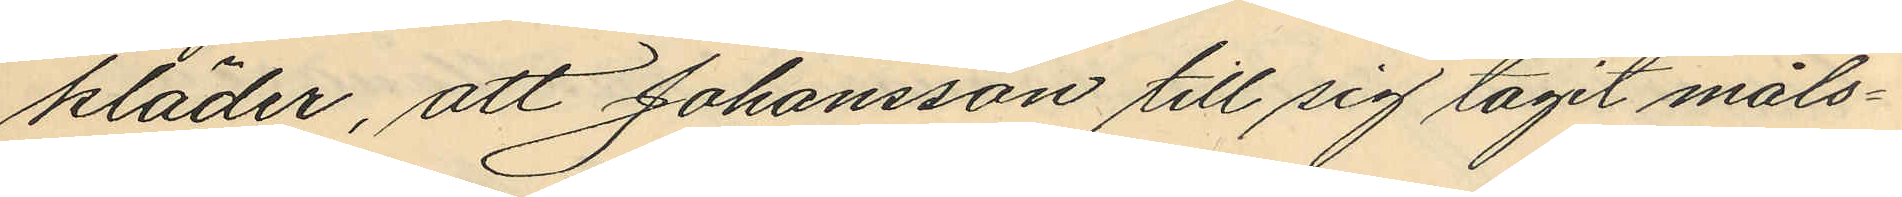kläder, att Johansson till sig tagit måls¬
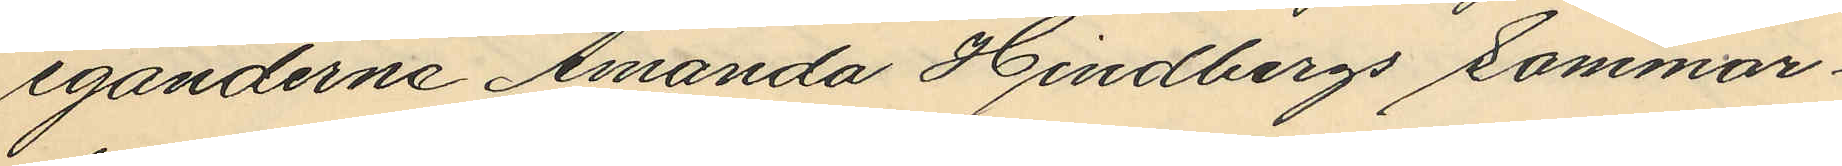eganderna Amanda Hindbergs sommar¬
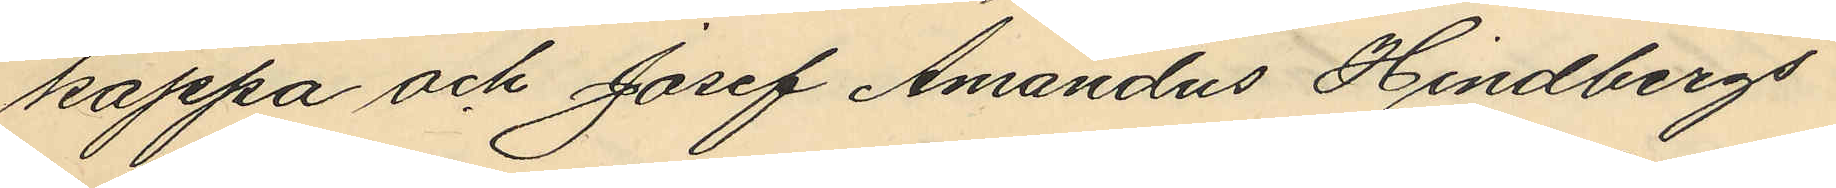kappa och Josef Amandus Hindbergs
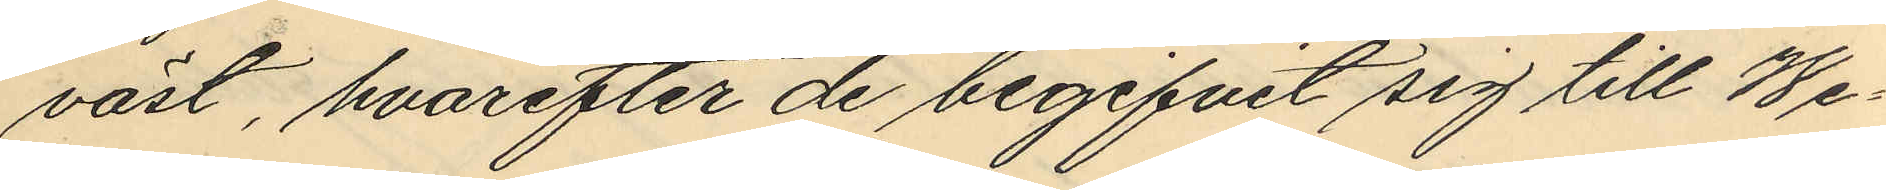väst, hvarefter de begifvit sig till We¬
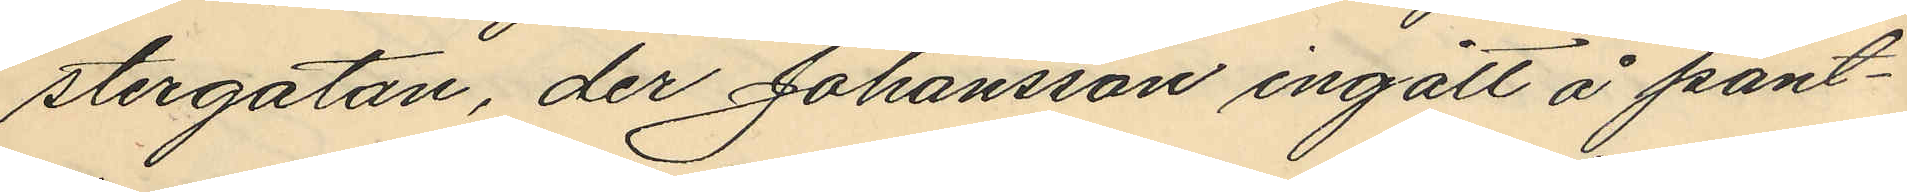stergatan, der Johansson ingått å pant¬
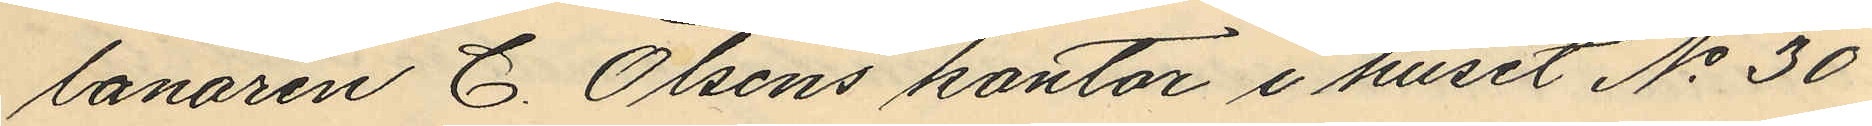lånaren C. Olsens kontor i huset No 30
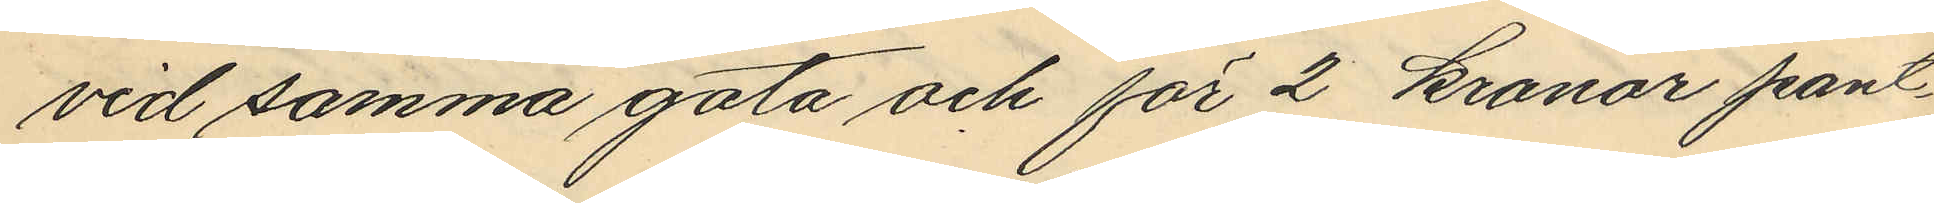vid samma gata och för 2 kronor pant¬
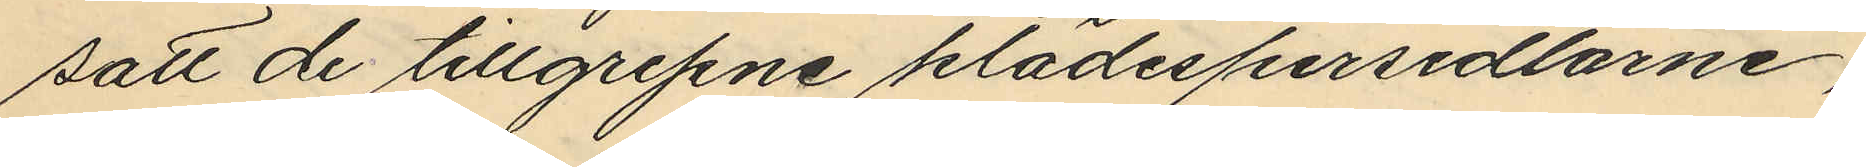satt de tillgripne klädespersedlarne;
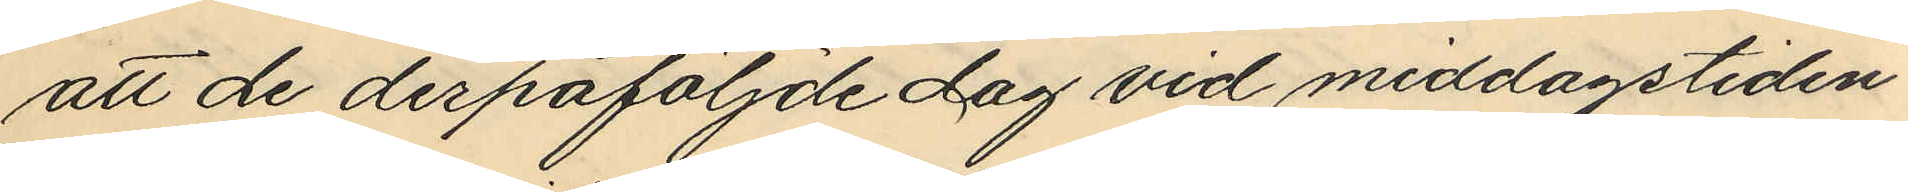att de derpåföljde dag vid middagstiden
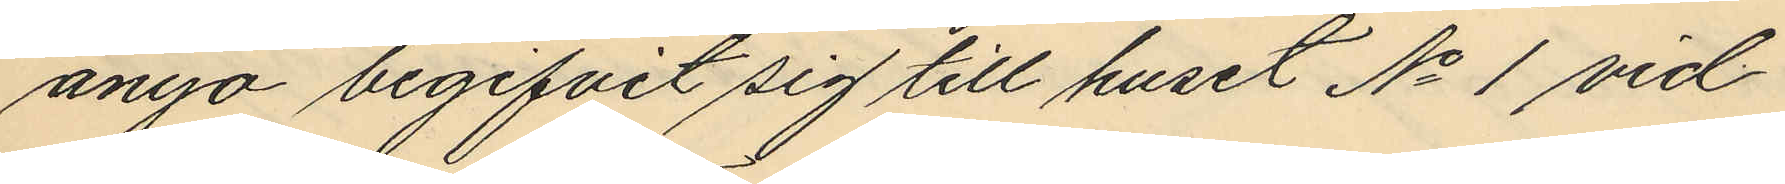ånyo begifvit sig till huset No 1 vid
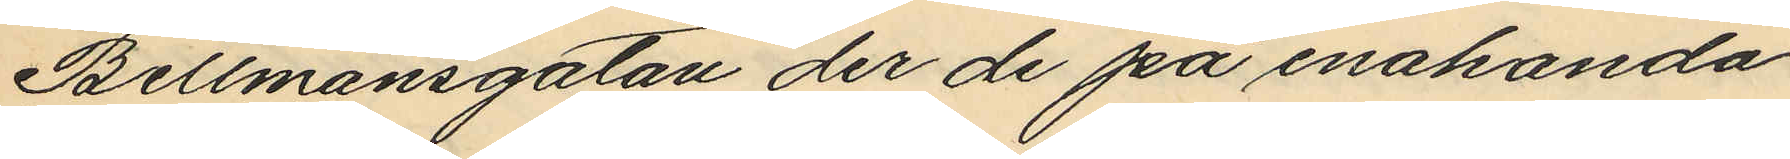Bellmansgatan der de på enahanda
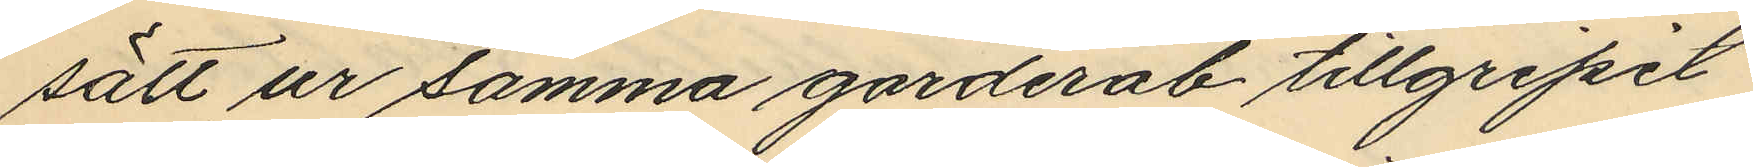sätt ur samma garderob tillgripit
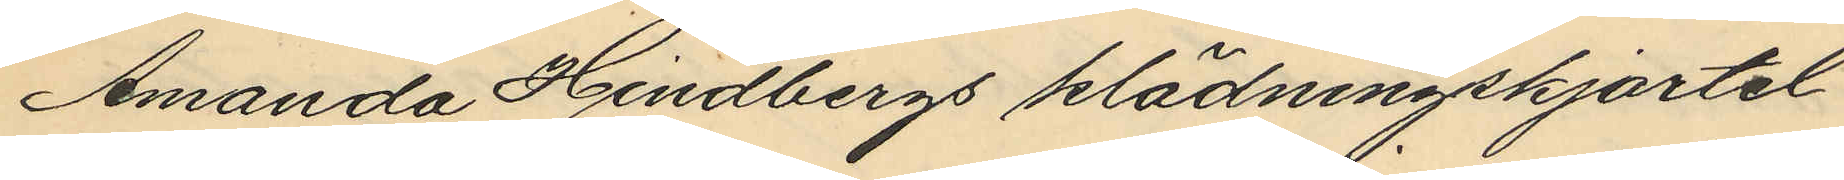Amanda Hindbergs klädningskjortel
